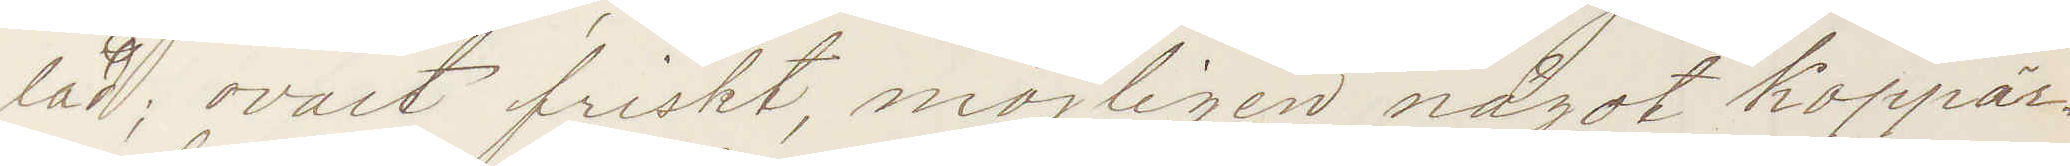lad; ovalt friskt, något möjligen koppär¬
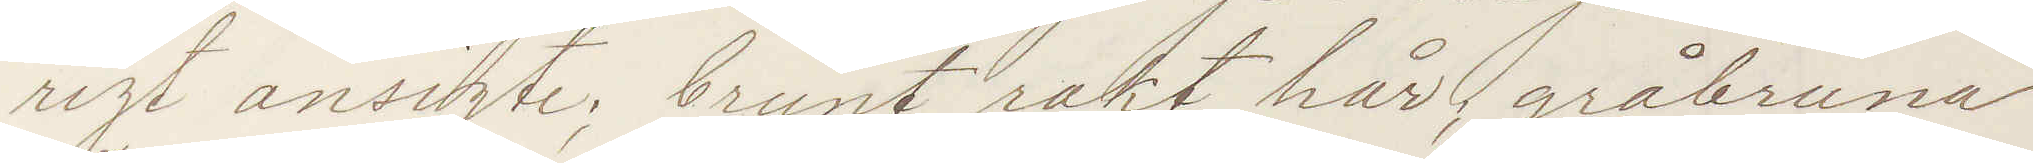rigt ansigte; brunt rakt hår, gråbruna
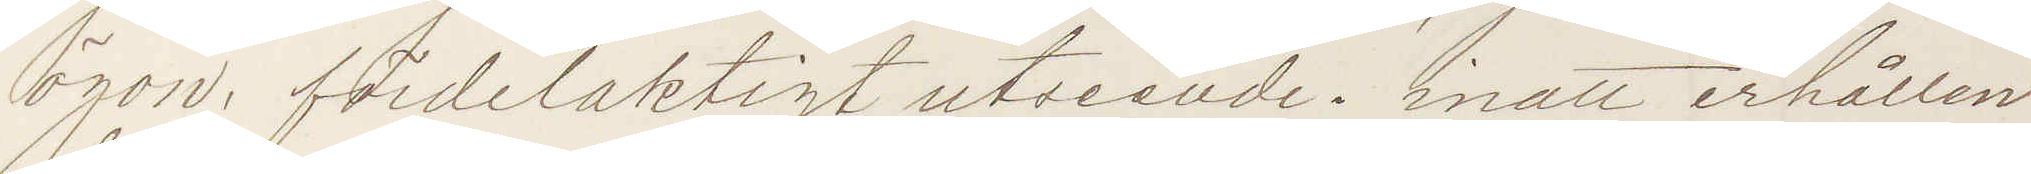ögon; fördelaktigt utseende; inatt erhållen
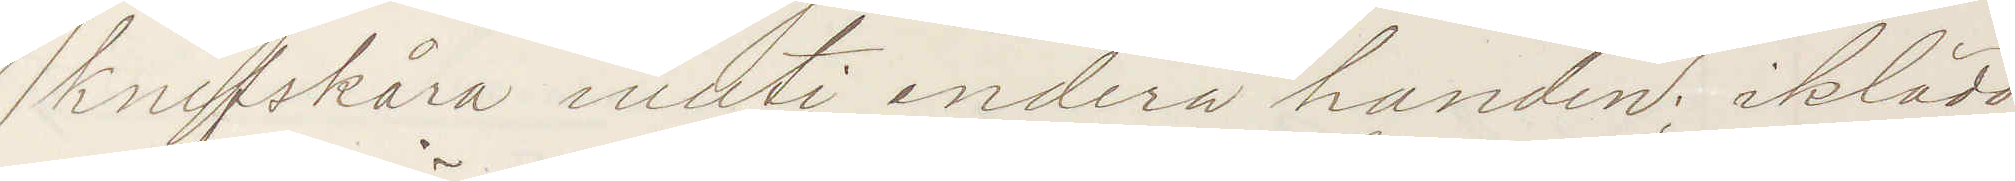knifskåra inuti endera handen; iklädd
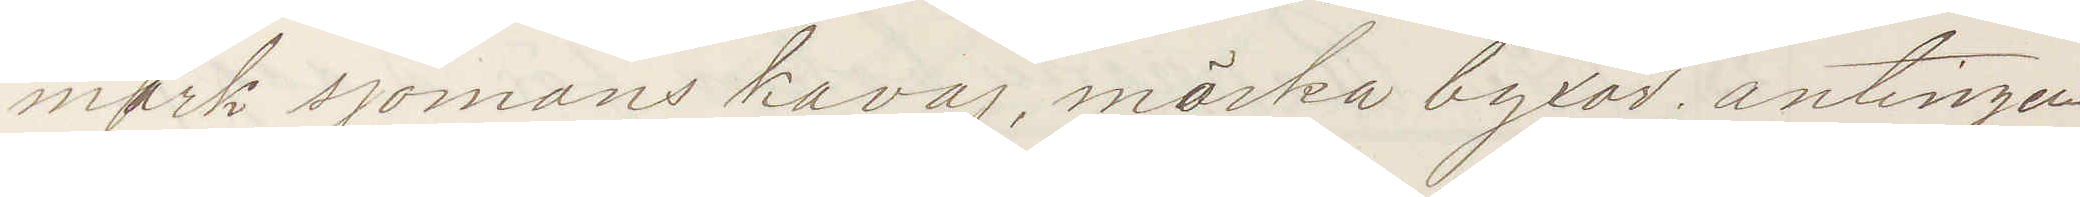mörk sjömans kavaj, mörka byxor antingen
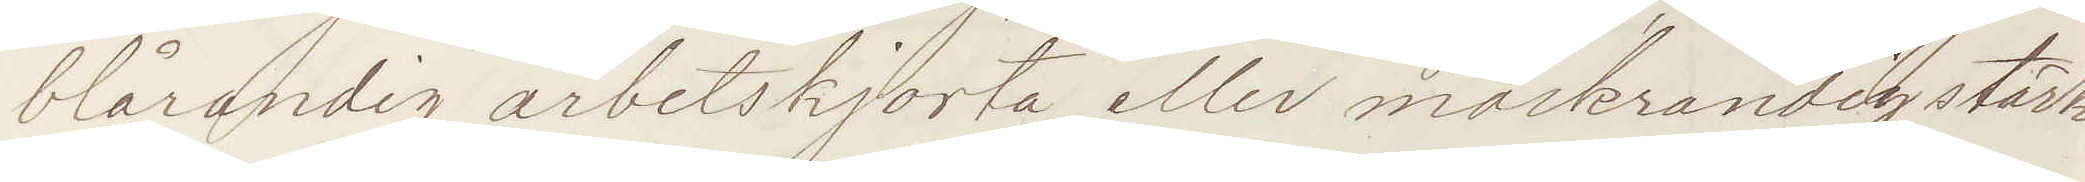blårandig arbetskjorta eller mörkrandig stärk¬
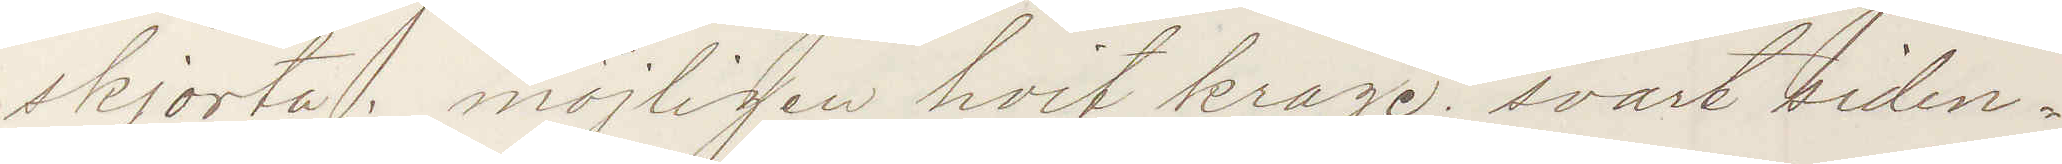skjorta; möjligen hvit krage svart siden¬
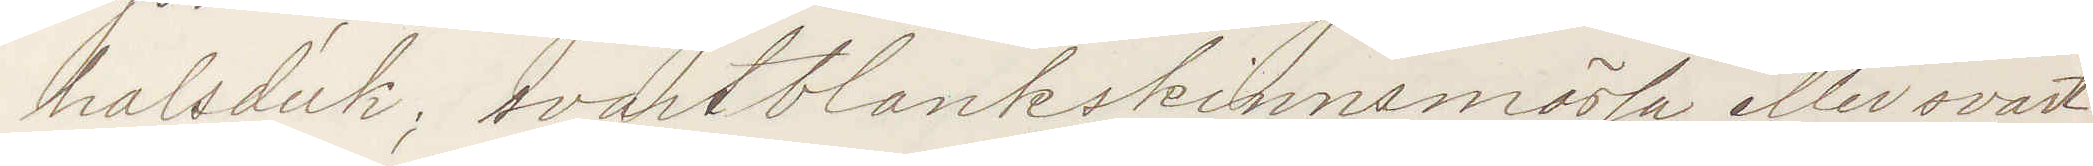halsduk; svart blankskinnsmössa eller svart
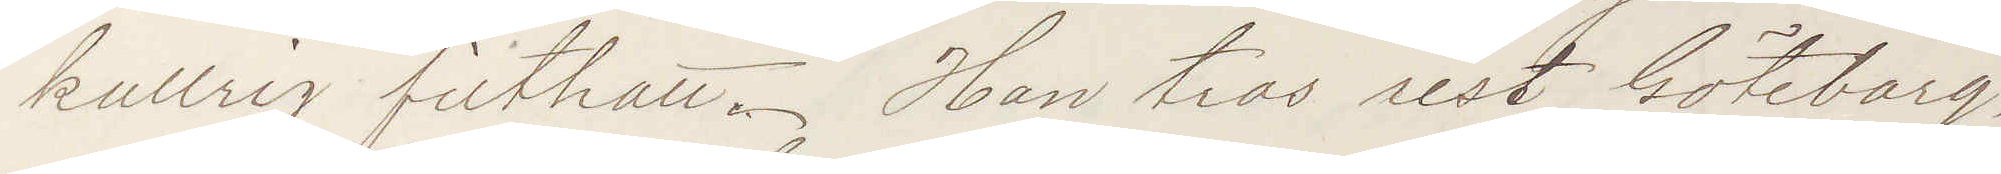kullrig filthatt. Han tros rest Göteborg,
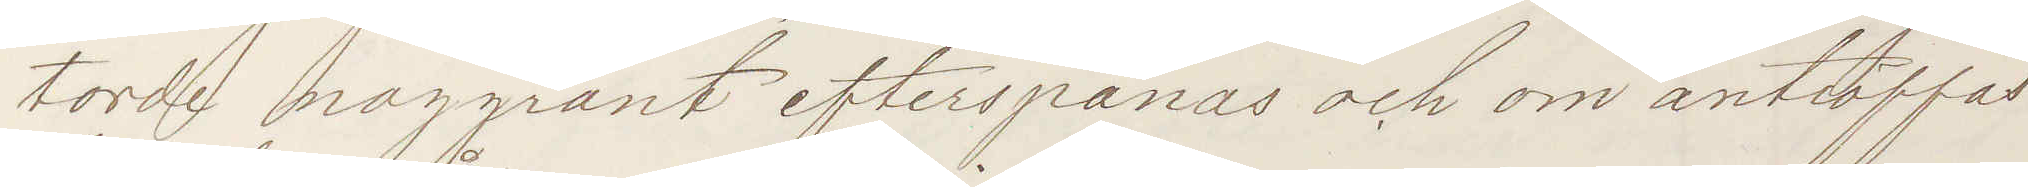torde noggrant efterspanas och om anträffas
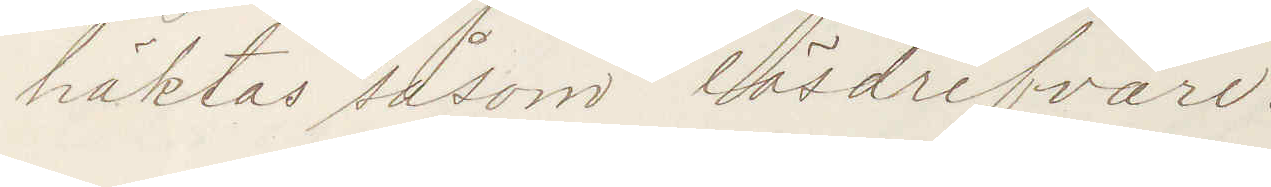häktas såsom lösdrifvare.
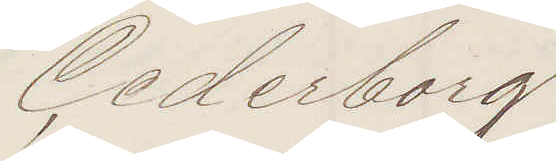Cederborg
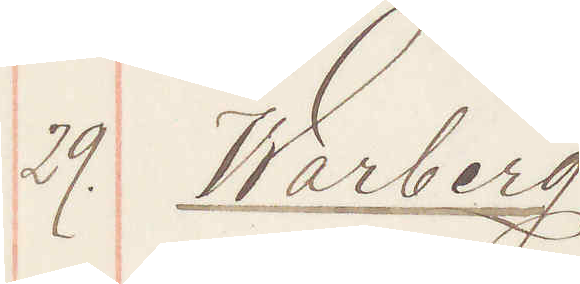29. Warberg
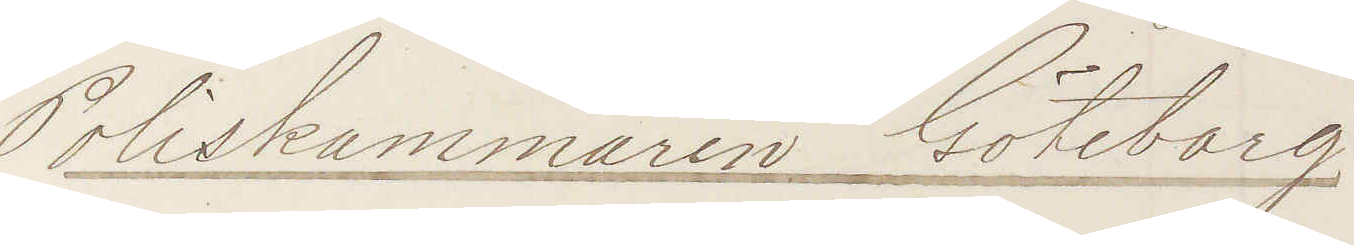Poliskammaren Göteborg
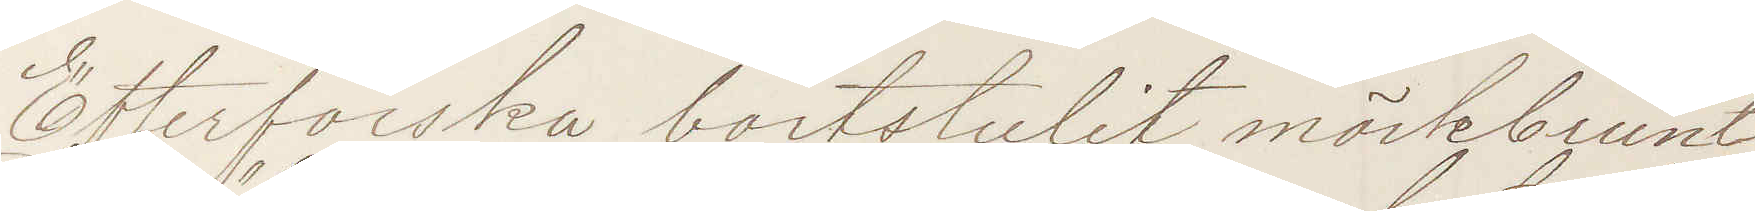Efterforska bortstulet mörkbrunt
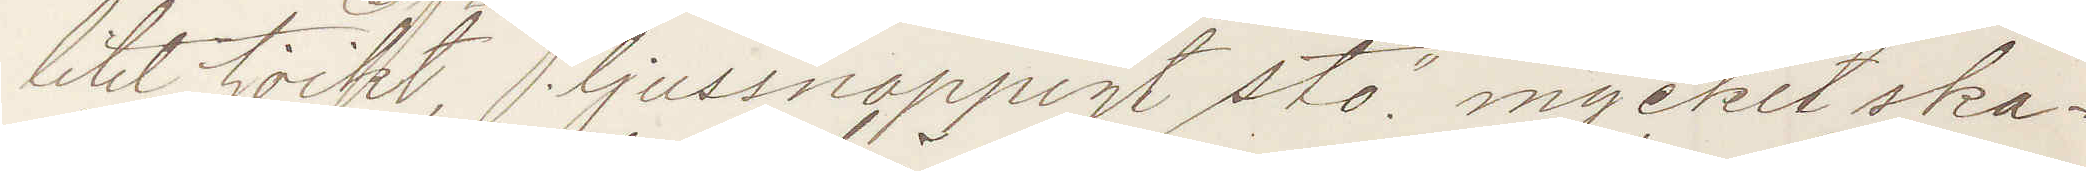litet tjockt, "ljussnoppigt sto" mycket ska¬
